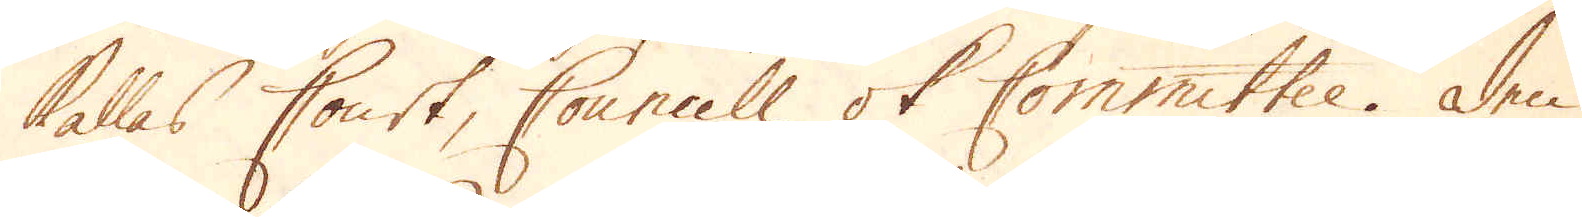kallas Court, Councill ok Committee. Den
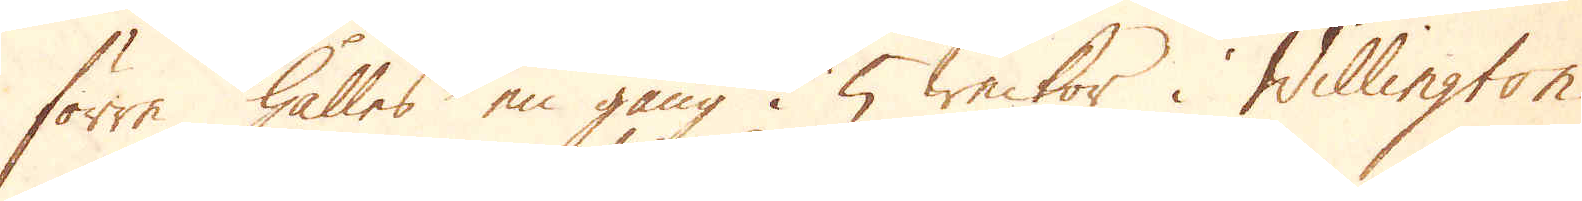förra hålles en gång i 5 weckor i Willington
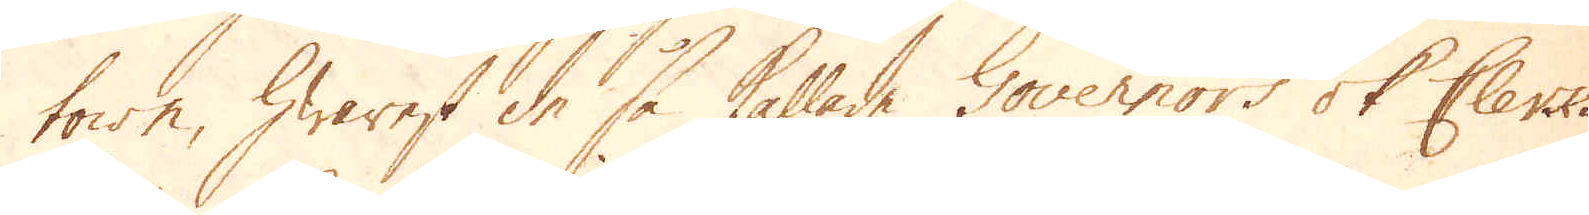town, hwarest de så kallade Governors ok Clerks
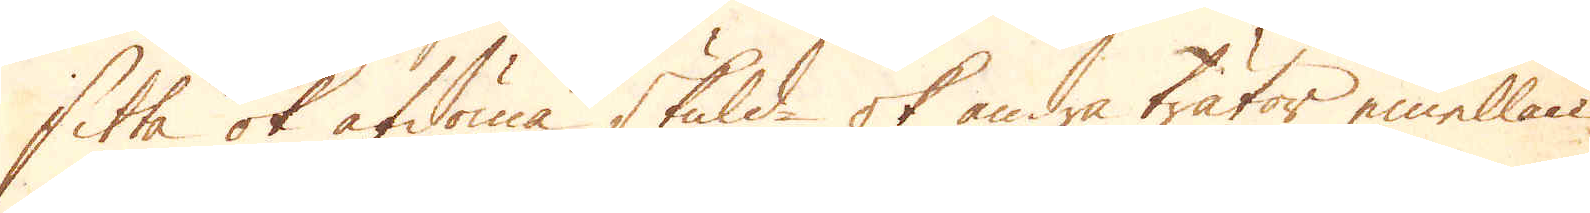sitta ok afdöma skuld- ok andra trätor emellan
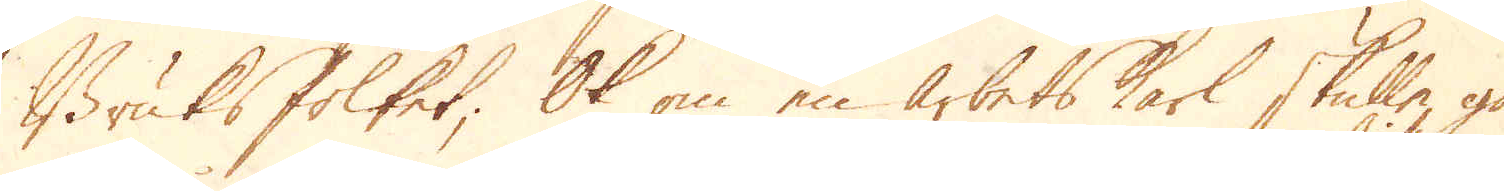Bruksfolket; Ok om en arbetskarl skulle gå
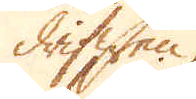drifwen
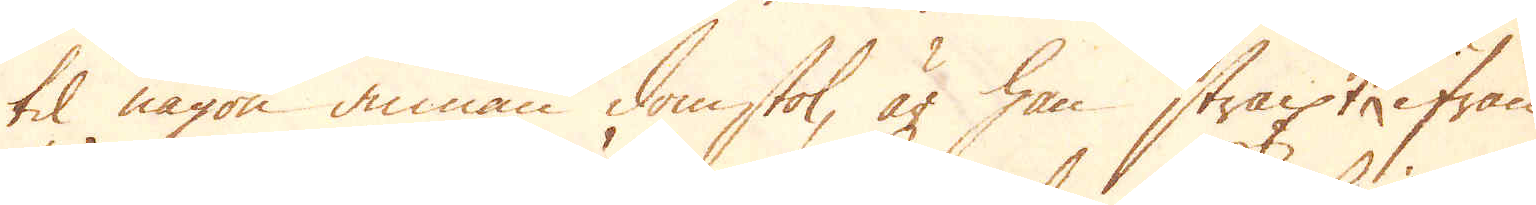til någon annan domstol, är han straxt ifrån
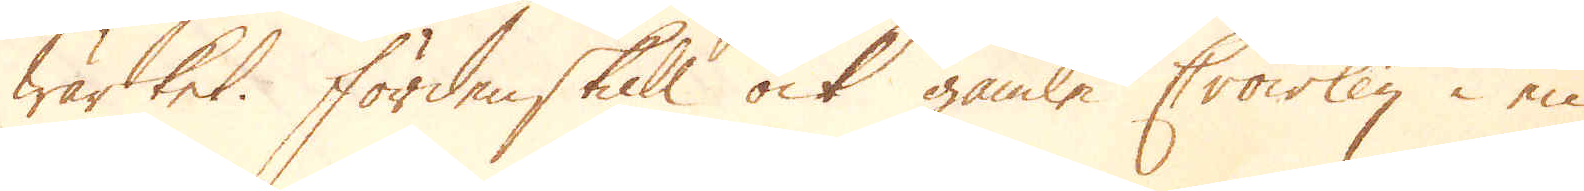wärket. Förden skull ock gamle Crowley i en
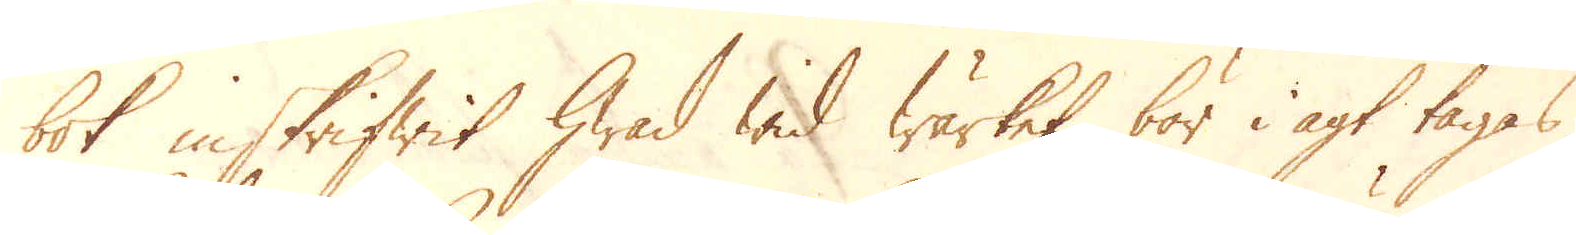bok inskrifwit hwad wid wärket bör i agt tagas,
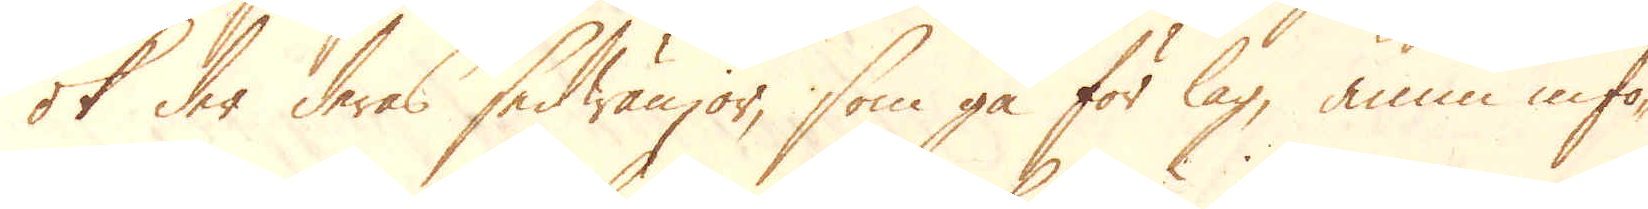ok der deras sedwänjor, som gå för lag, ännu infö-
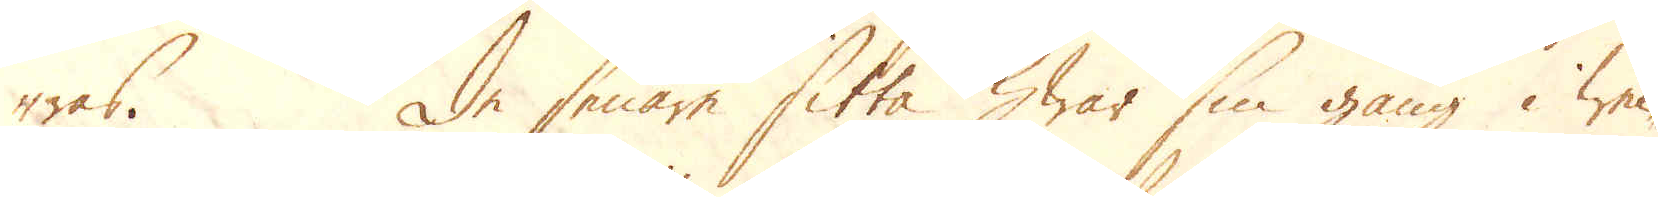ras. De senare sitta hwar sin gång i wec-
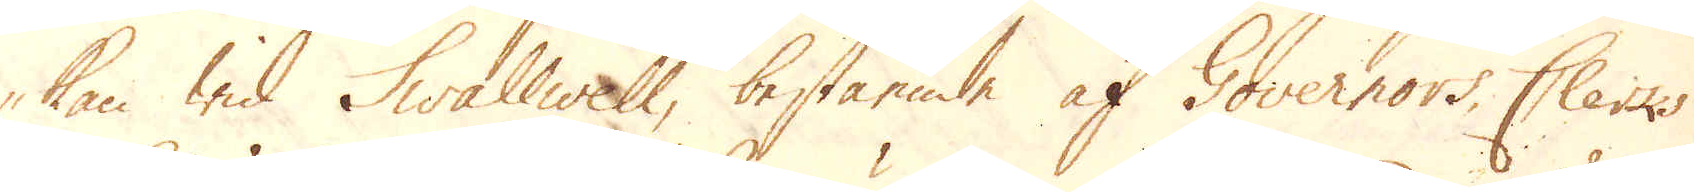kan wid Swallwell, bestående af Governors Clerks
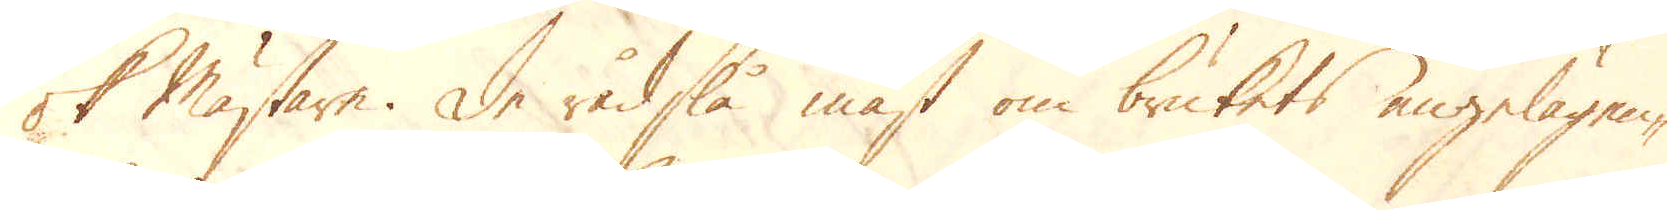ok Mästare. De rådslå mäst om brukets angelägen-
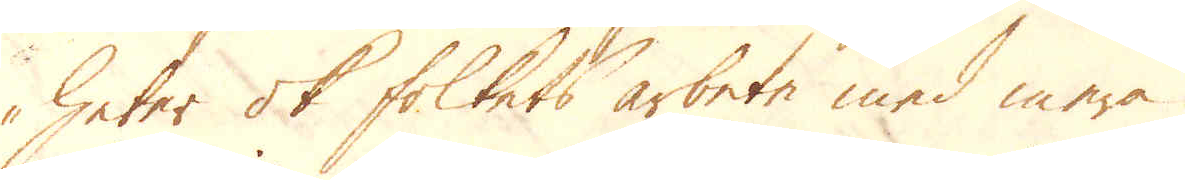heter ok folkets arbete med mera.
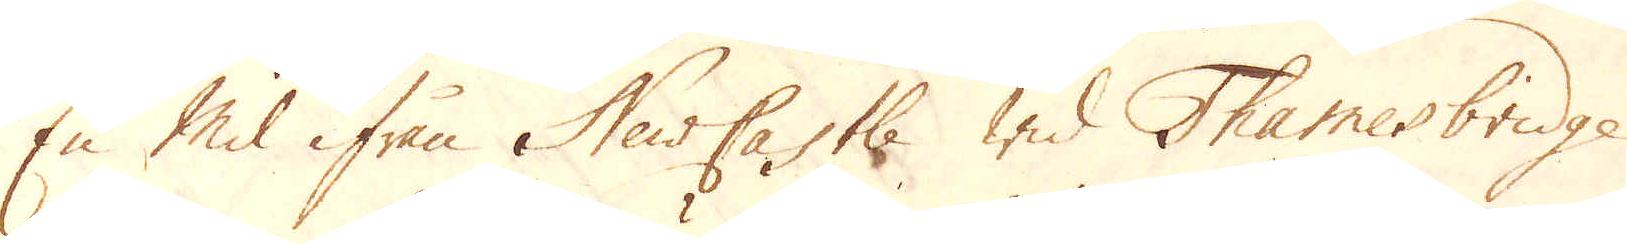En mil ifrån NewCastle wid Thames bridge
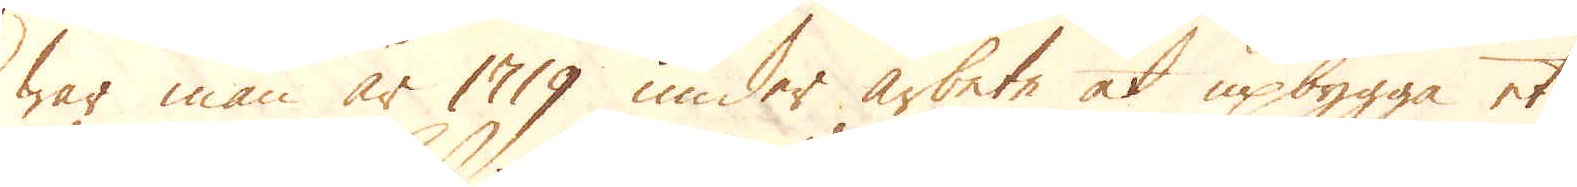war man år 1719 under arbete at upbygga et
